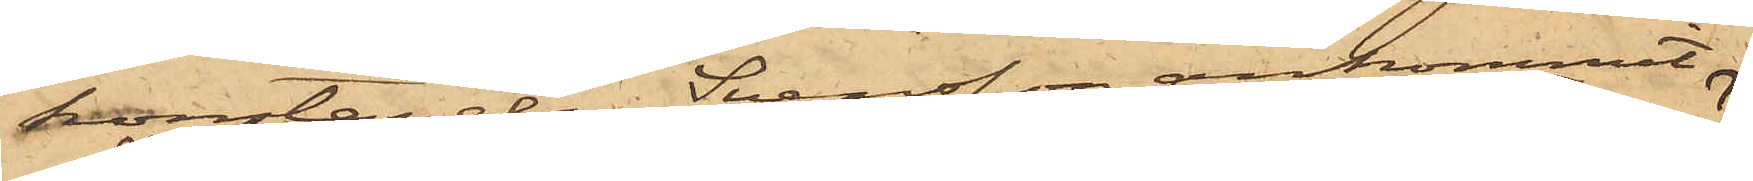konstapeln Svensson ankommit.
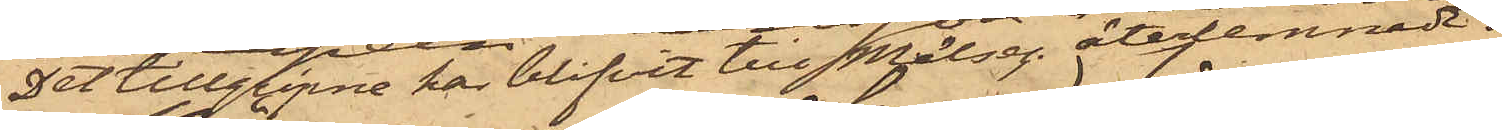Det tillgripne har blifvit till Målseg. återlemnadt.
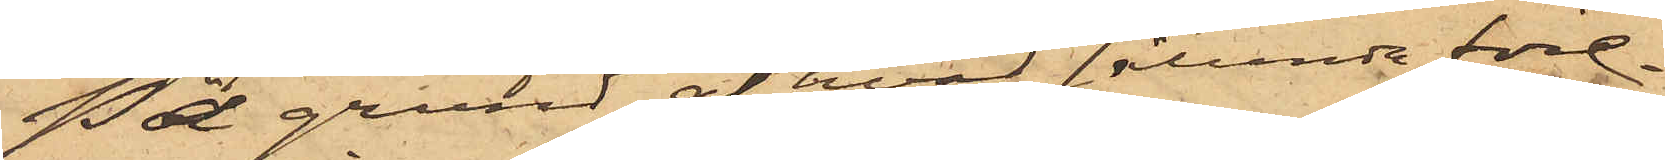På grund af hvad sålunda före¬
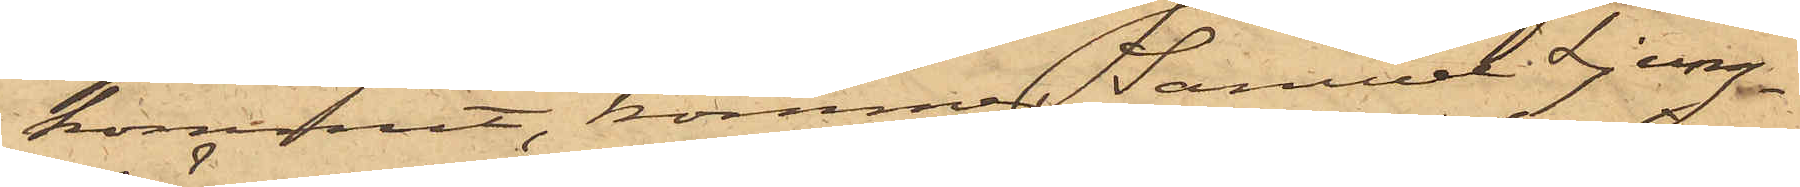kommit, kommer Samuel Ljung¬
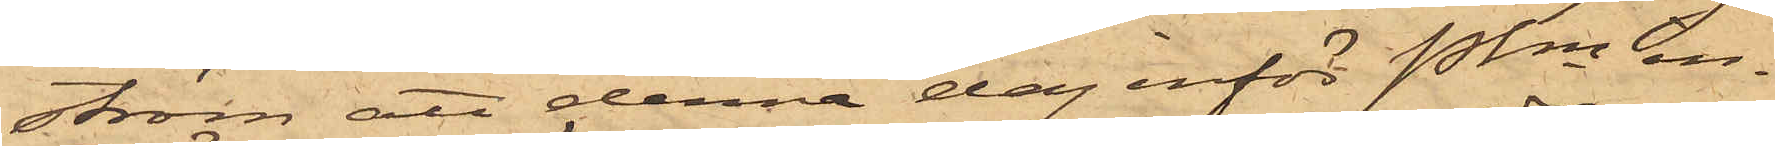ström att denna dag inför Pkn in¬
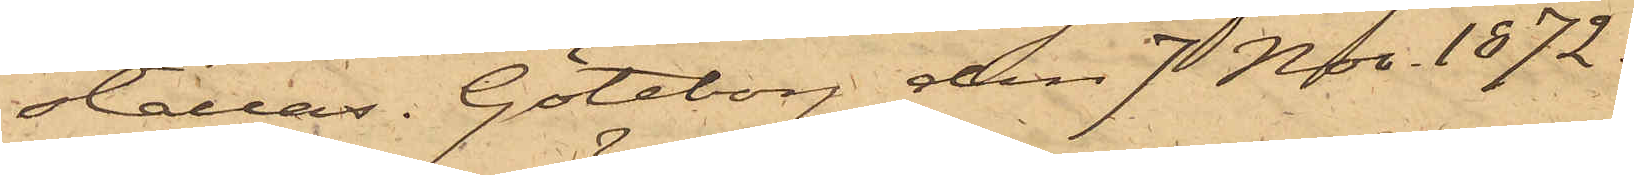ställas. Göteborg den 7 Nov. 1872.
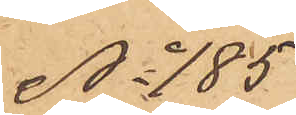No 185
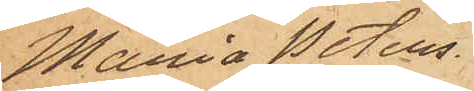Maria Peters¬
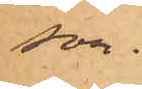son.
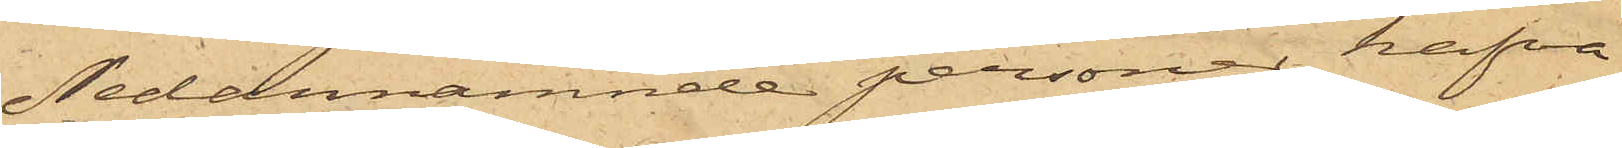Nedannämnde personer hafva
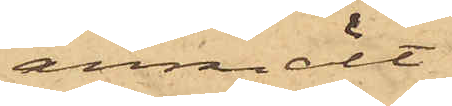anmält:
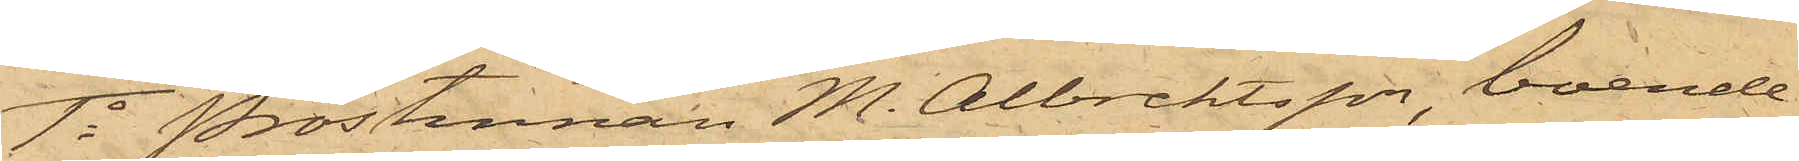1o Prostinnan M. Albrektsson, boende
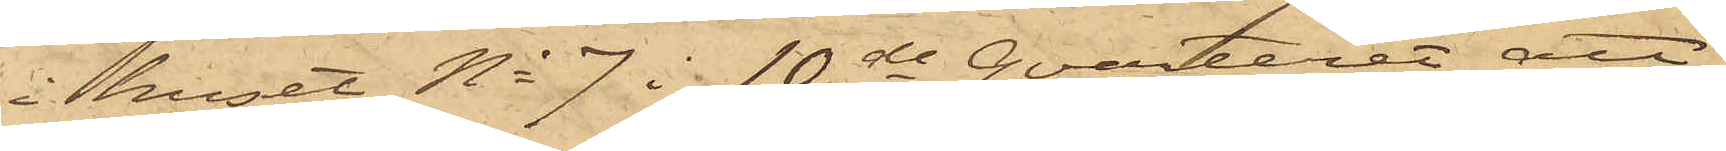i huset No 7 i 10de Qvarteret, att
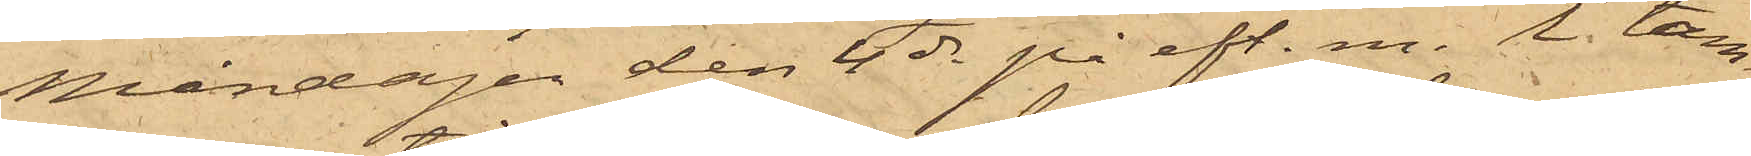Måndagen den 4 ds på eft. m. i tam¬
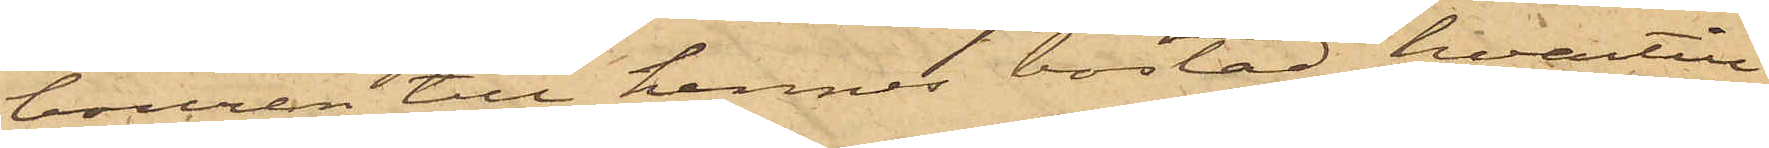bouren till hennes bostad, hvartill
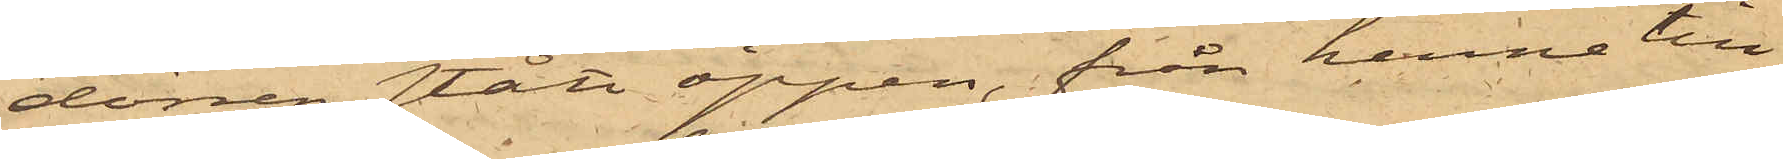dörren stått öppen, från henne till¬
